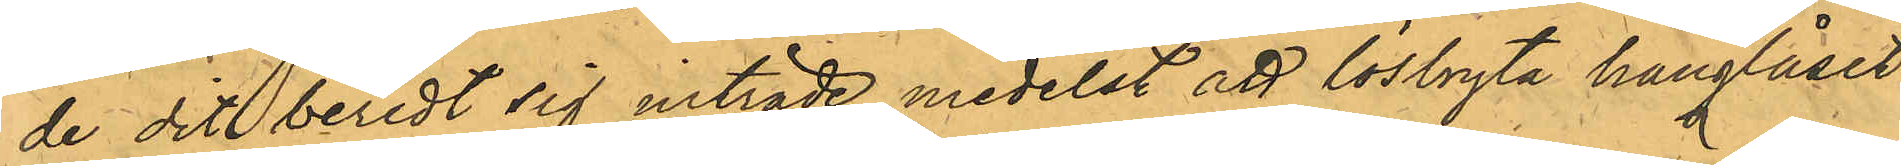de dit beredt sig inträde medelst att lösbryta hänglåset
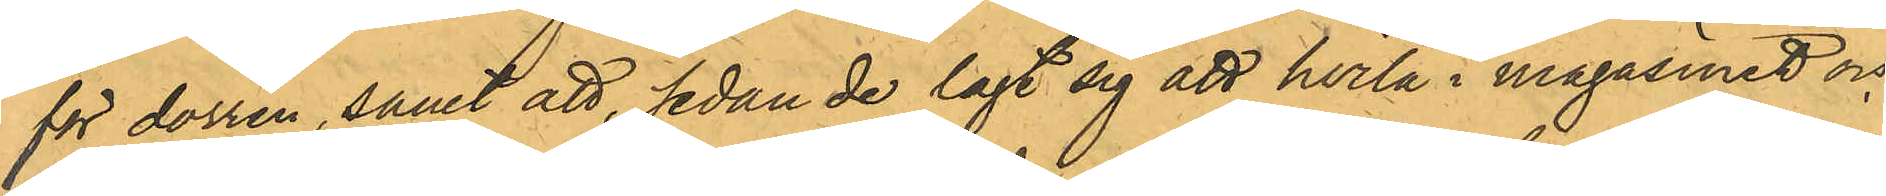för dörren, samt att, sedan de lagt sig att hvila i magasinet och
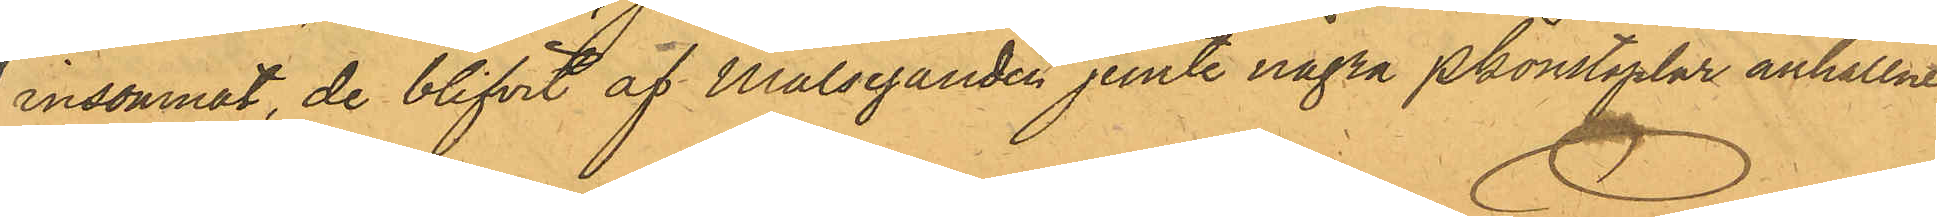insomnat, de blifvit af Målseganden jemte några Pkonstaplar anhållne;
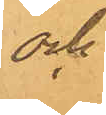och
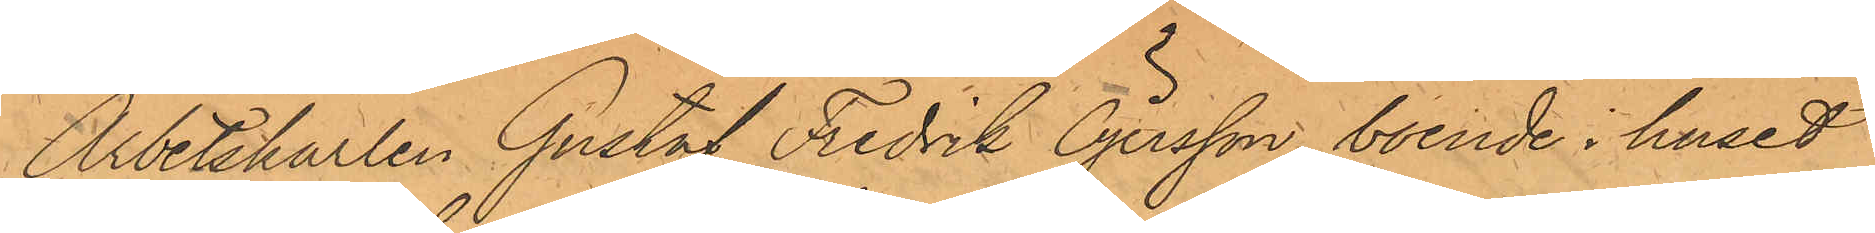Arbetskarlen Gustaf Fredrik Öjersson, boende i huset
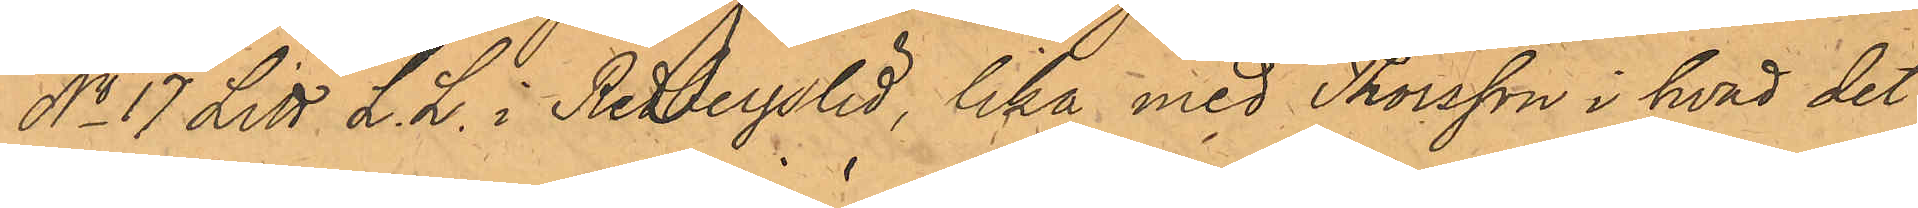No 17 Litt L. L. i Redbergslid, lika med Thorsson i hvad det
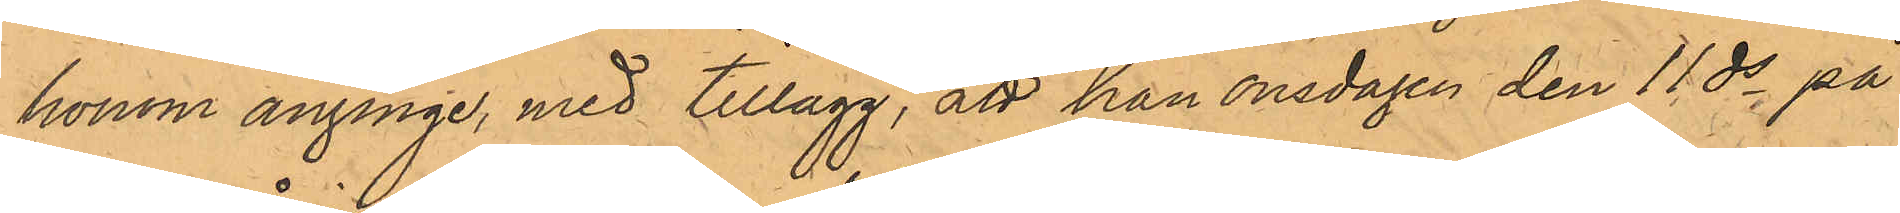honom anginge, med tillägg, att han onsdagen den 11 ds på
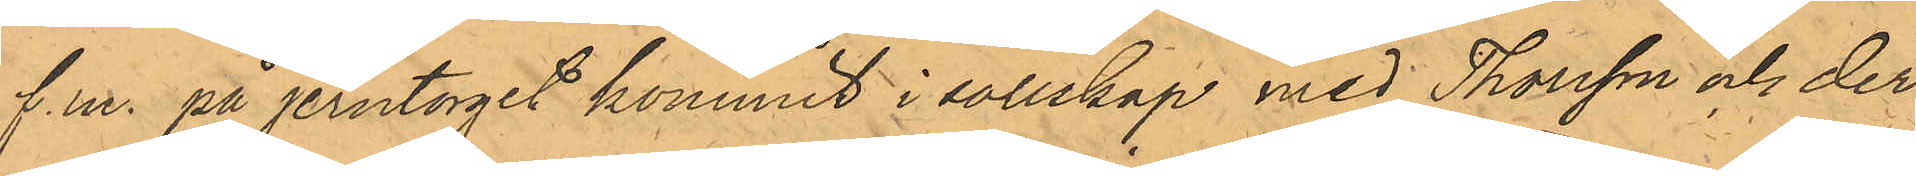f.m. på Jerntorget kommit i sällskap med Thorsson och der¬
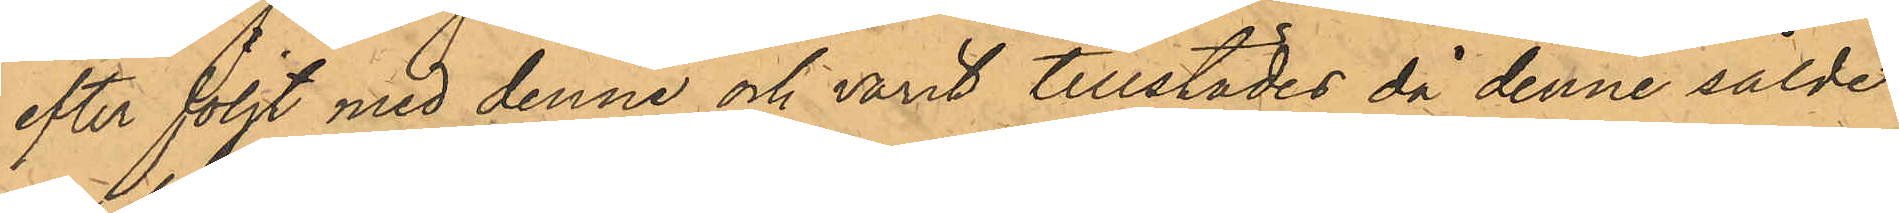efter följt med denne och varit tillstädes då denne sålde
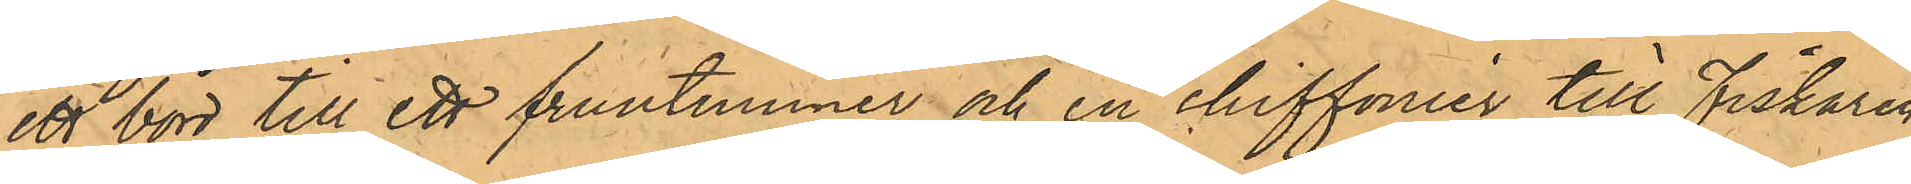ett bord till ett fruntimmer och en chiffonier till Fiskaren
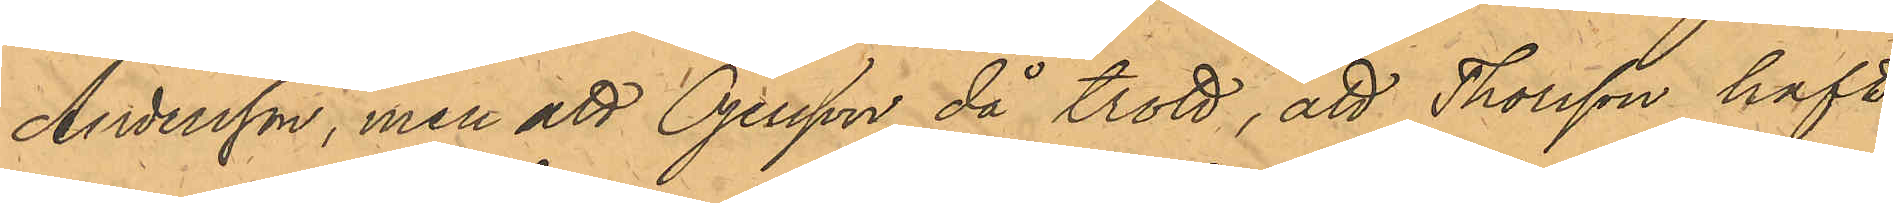Andersson, men att Öjersson då trott, att Thorsson haft
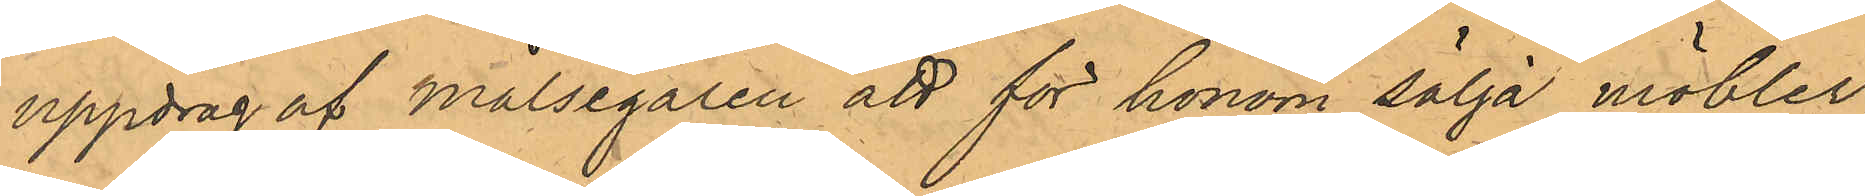uppdrag af Målsegaren att för honom sälja möbler;
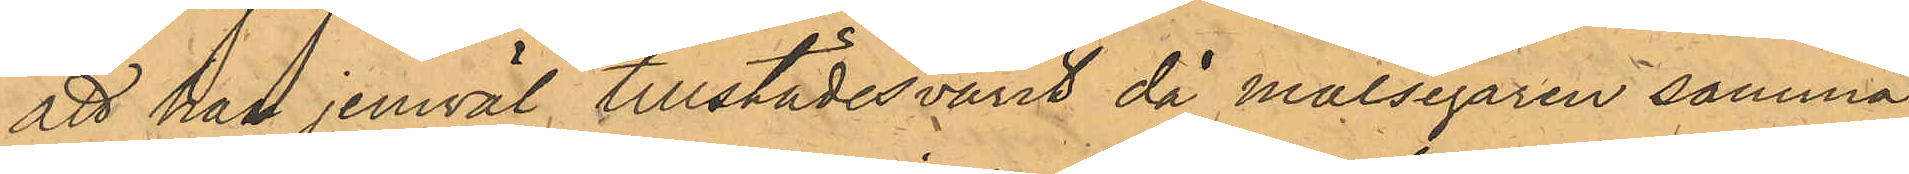att han jemväl tillstädesvarit då målsegaren samma
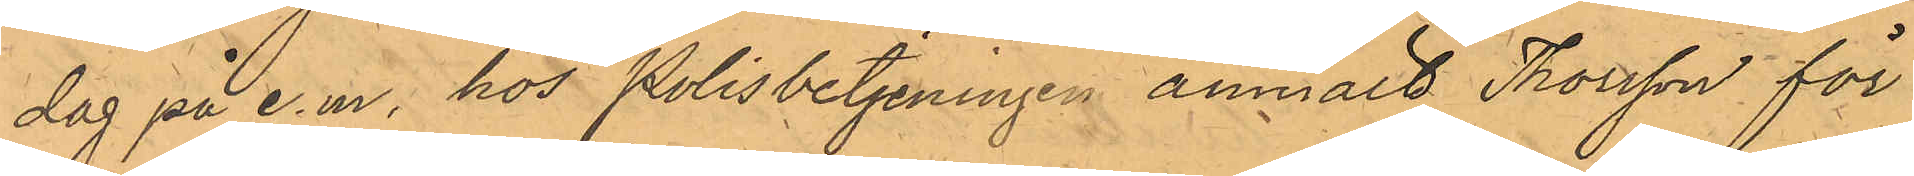dag på e.m. hos Polisbetjeningen anmält Thorsson för
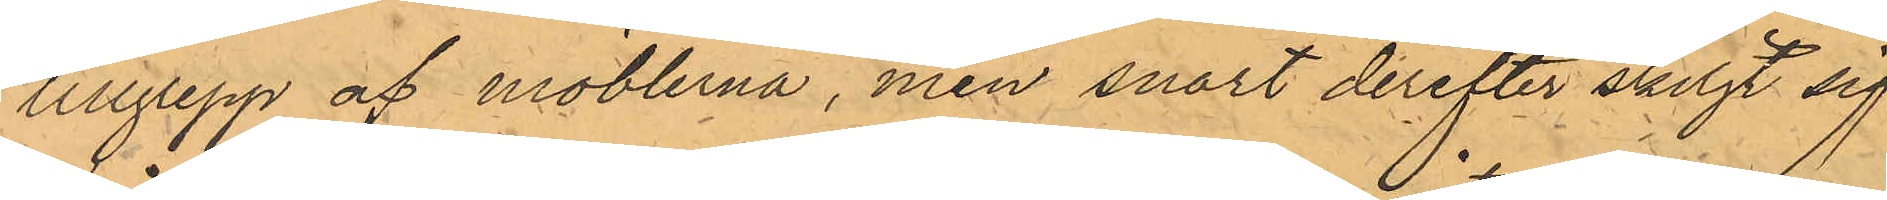tillgrepp af möblerna, men snart derefter skiljt sig
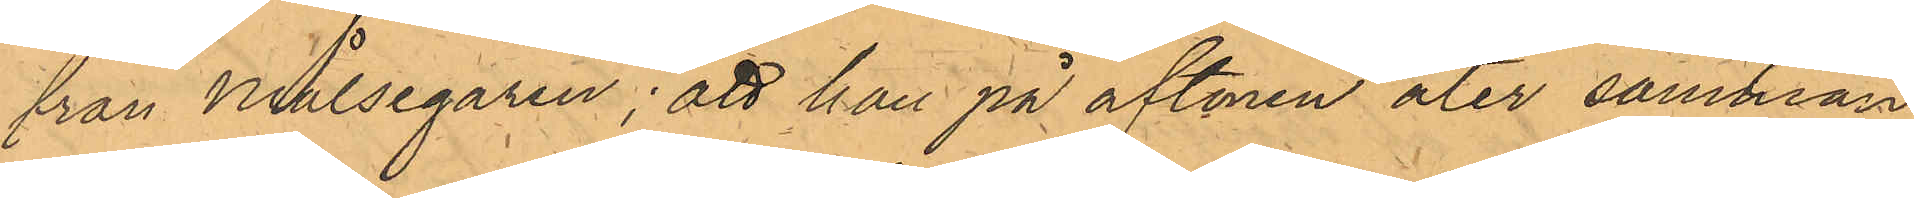från Målsegaren; att han på aftonen åter samman¬
